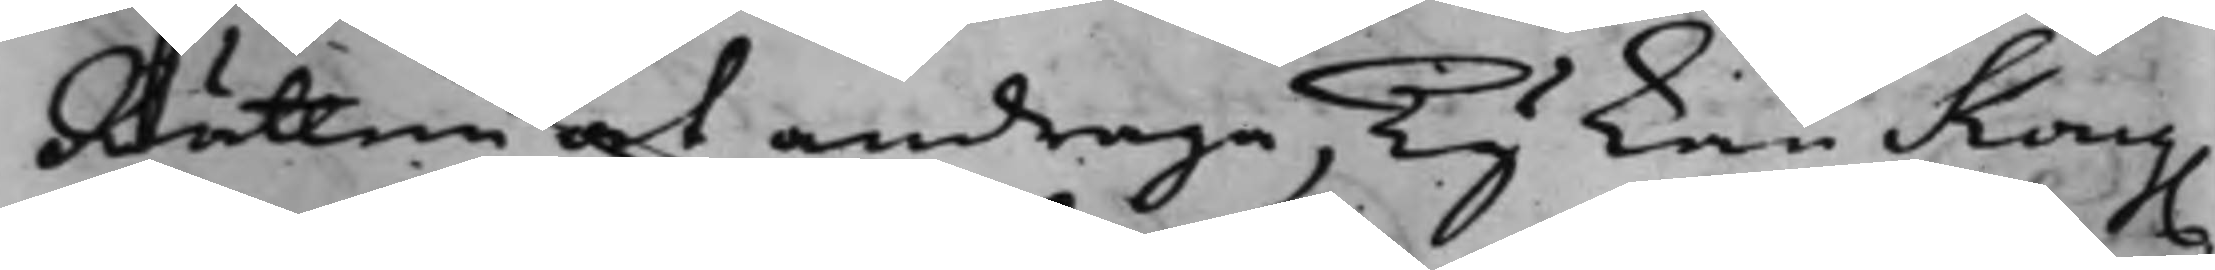Rätten at andraga, Ty kan Kong.
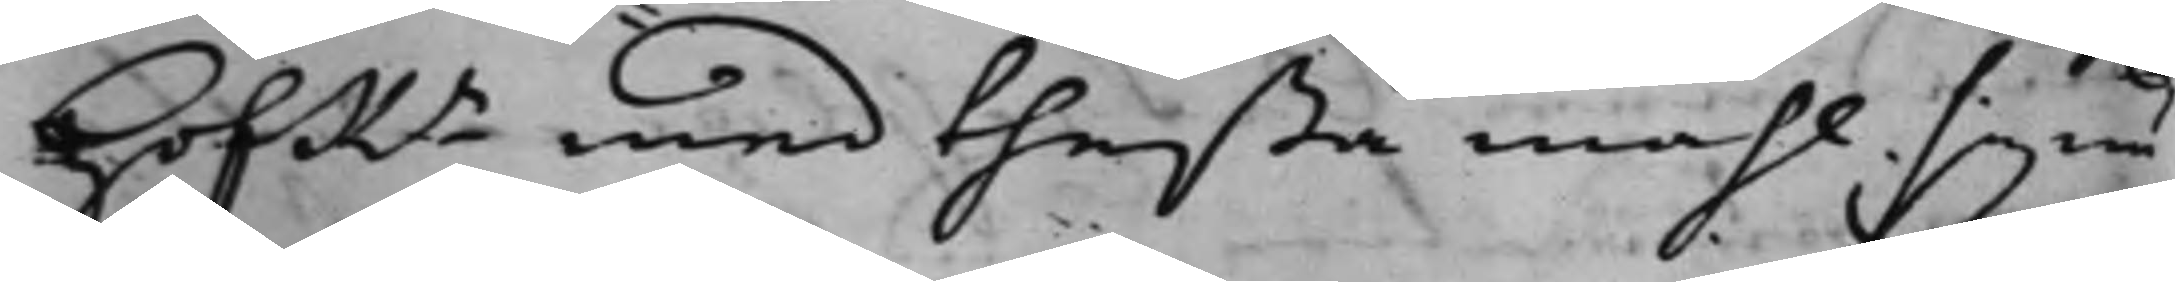HofRn med theßa måhl sig nu
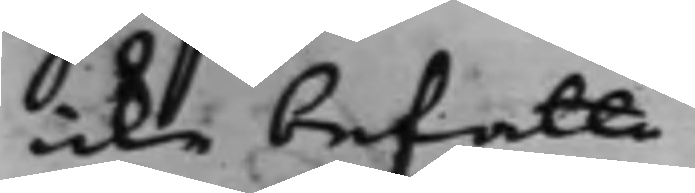icke befatta.
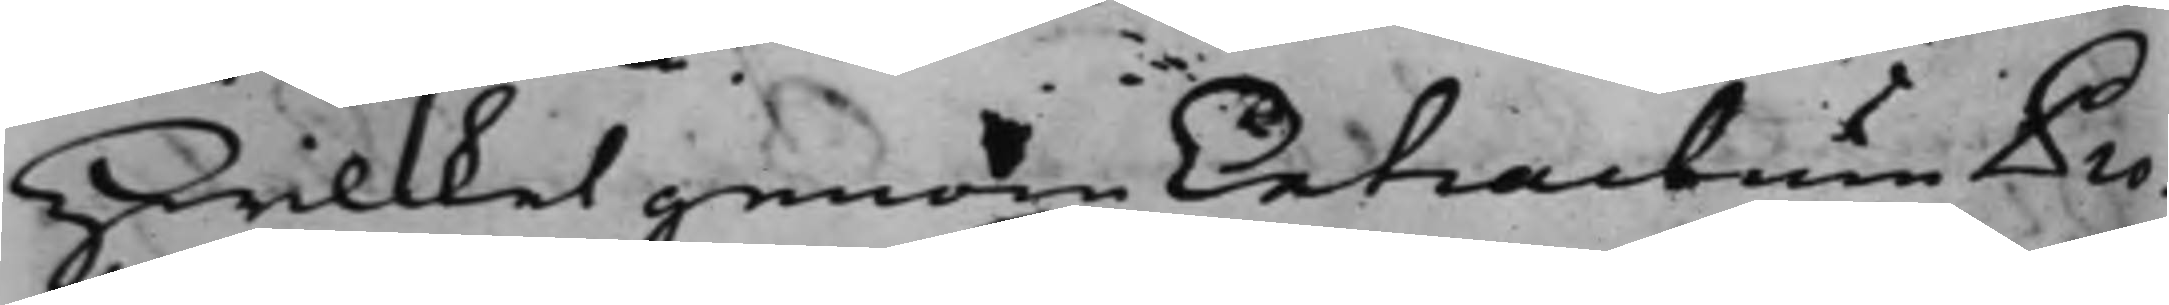Hwilcket genom Extractum Pro¬
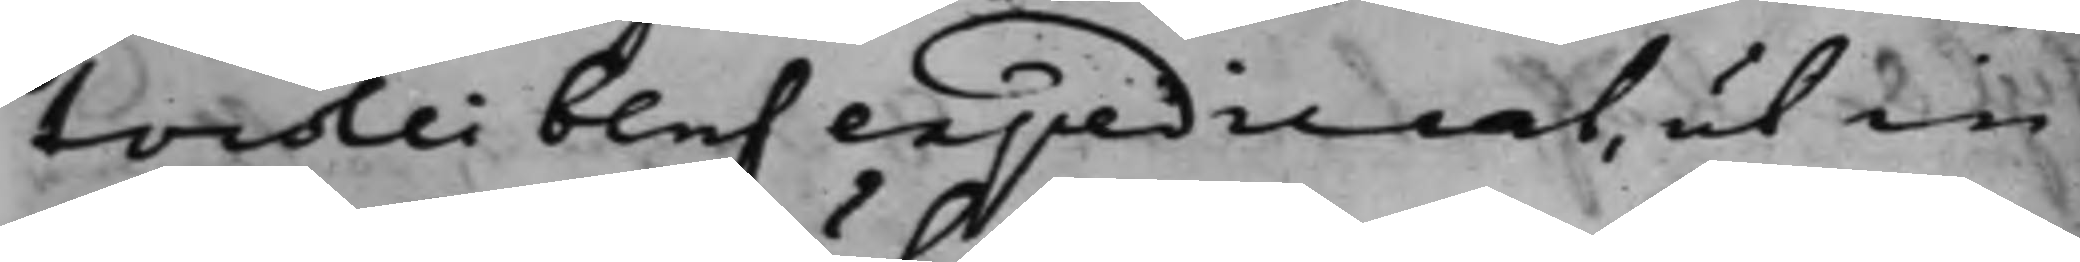tocoli blef expedierat, ut in
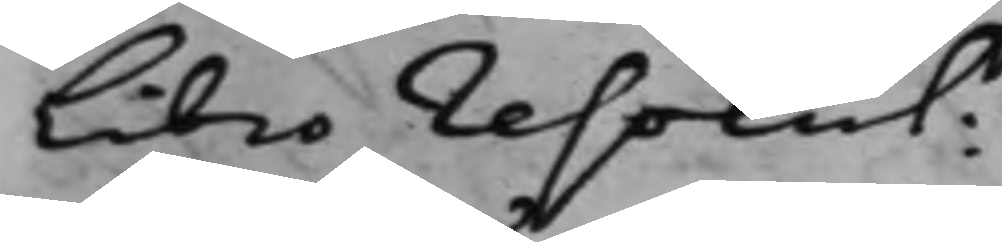Libro resolut:
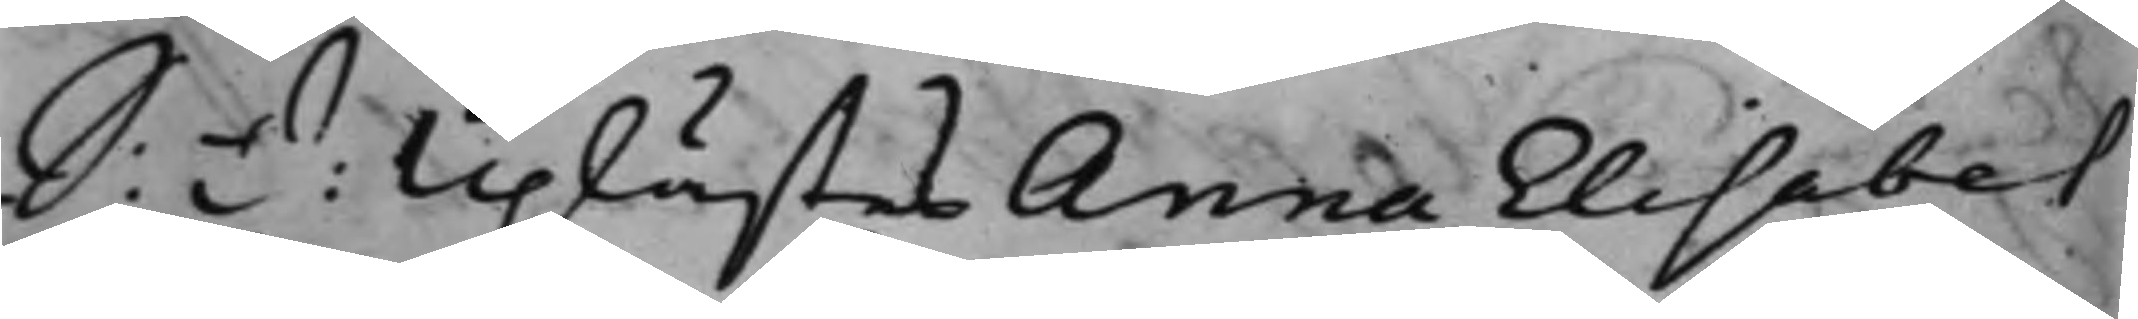S: D: Uplästes Anna Elisabet
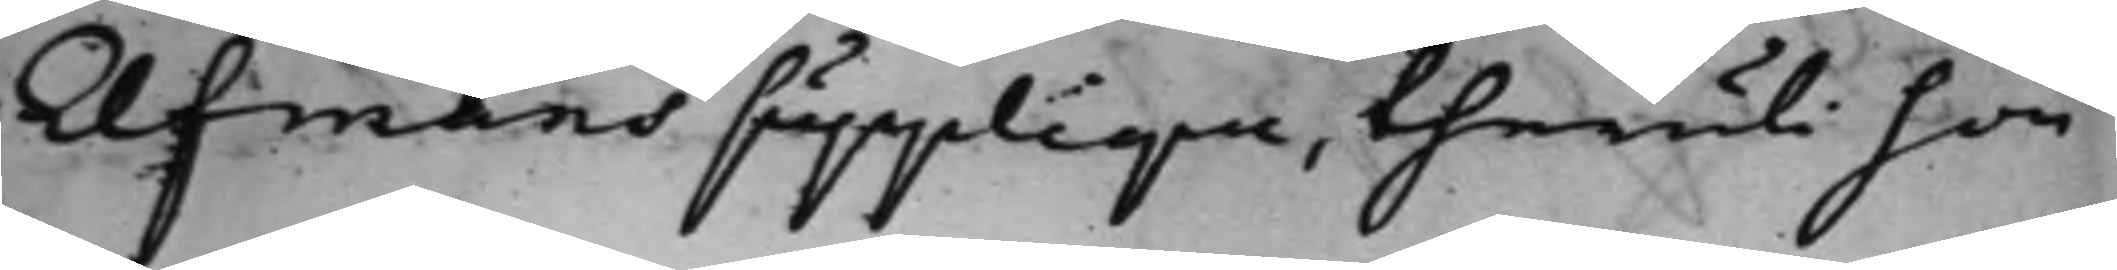Elfmans supplique, theruti hon
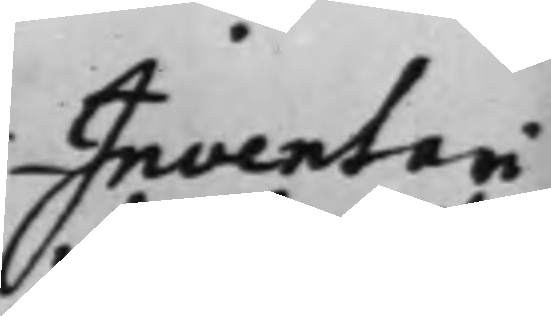Inventari¬
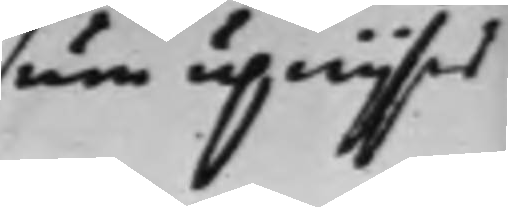um upwijsas
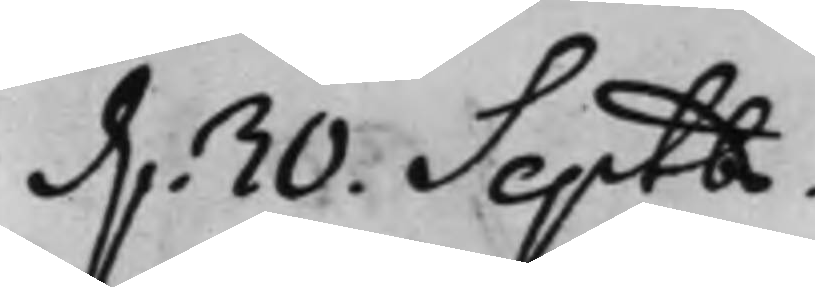d. 30. Septbr.
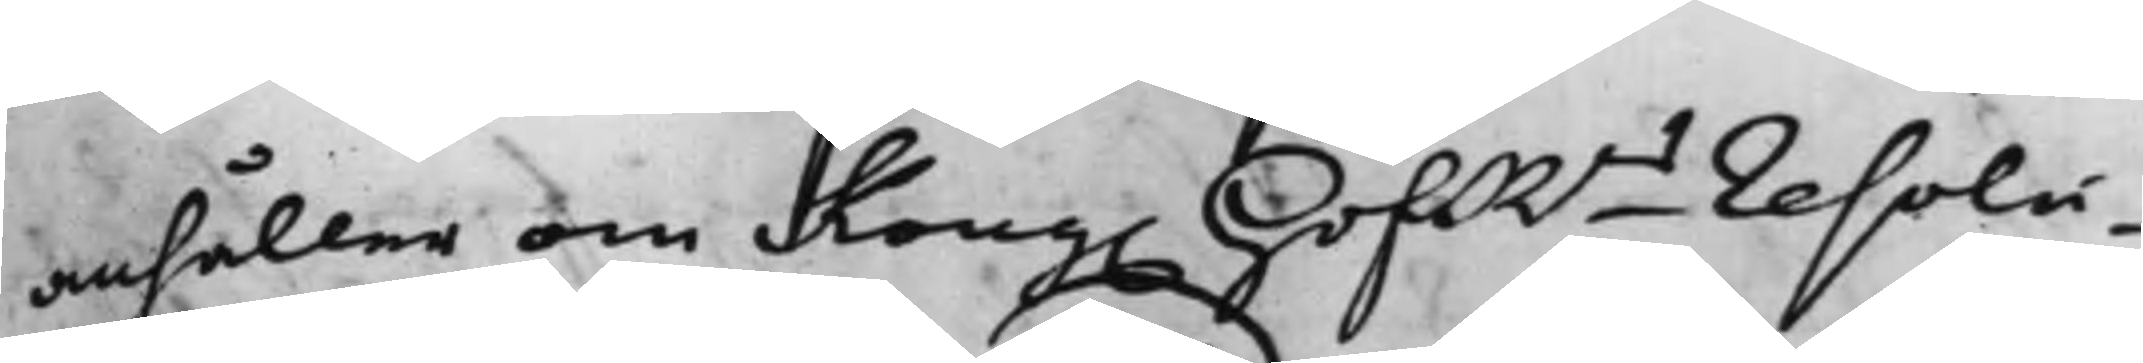anhåller om Kong. HofRns Resolu¬
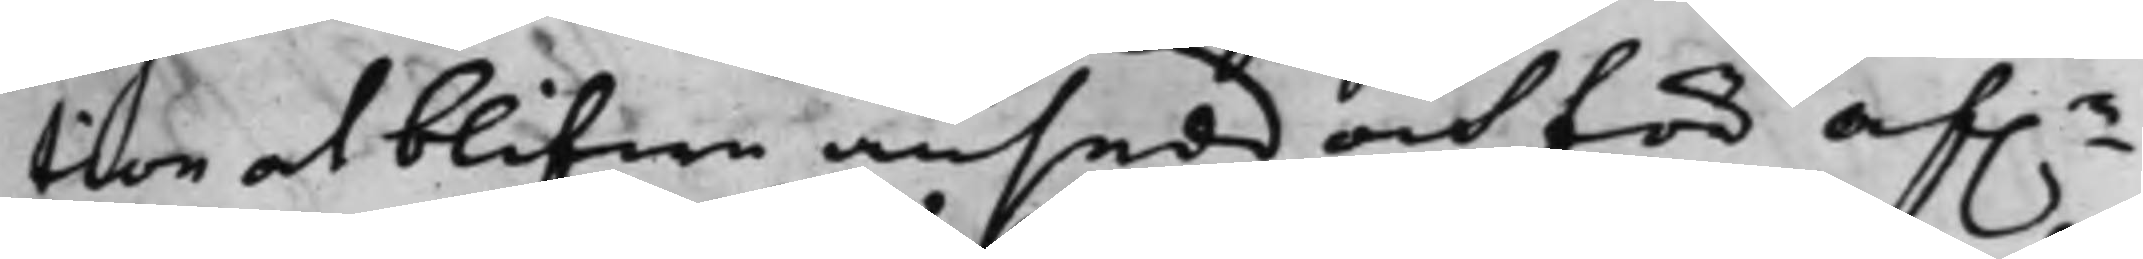tion at blifwa ansedd och för af.e
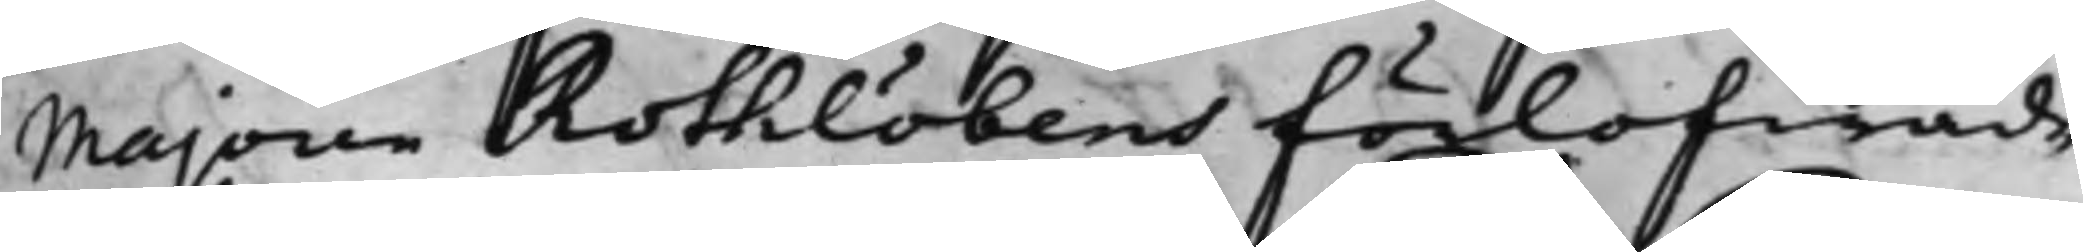Majoren Rothlöbens förlofwade
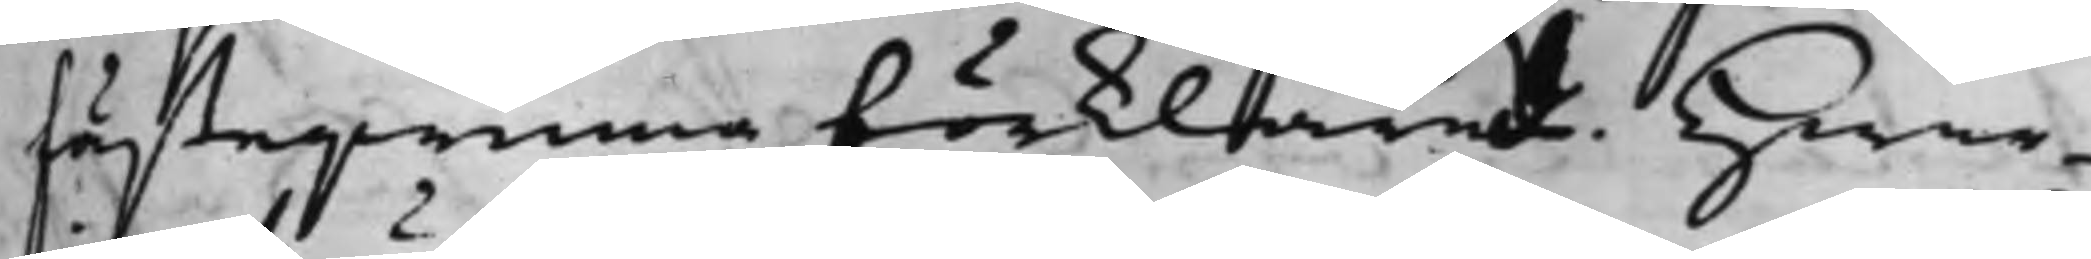fästegwinna förklarad. Hwar¬
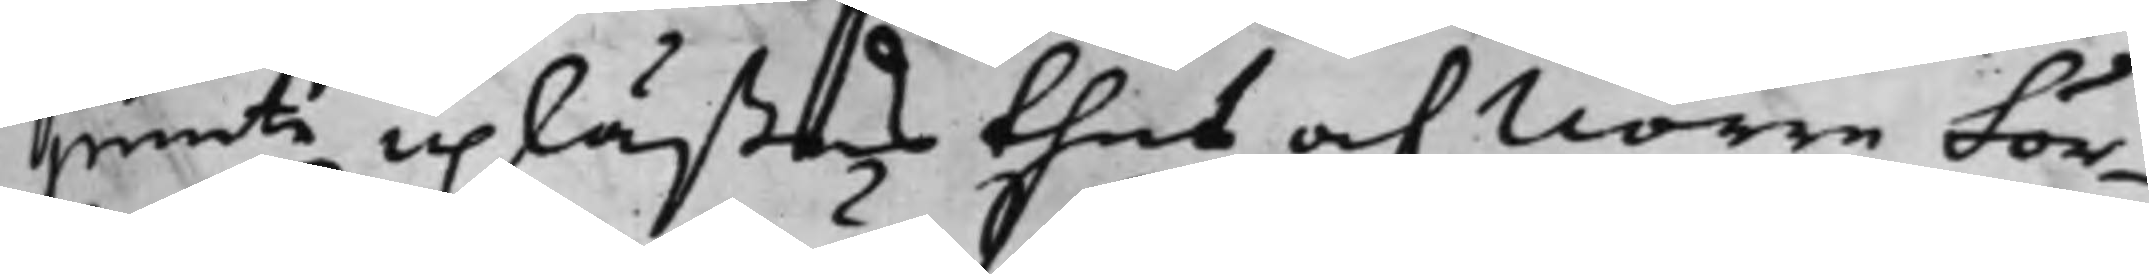jemte uplästes thes af Norre För¬
